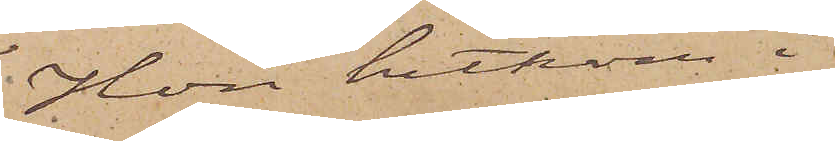Hon hitkom i
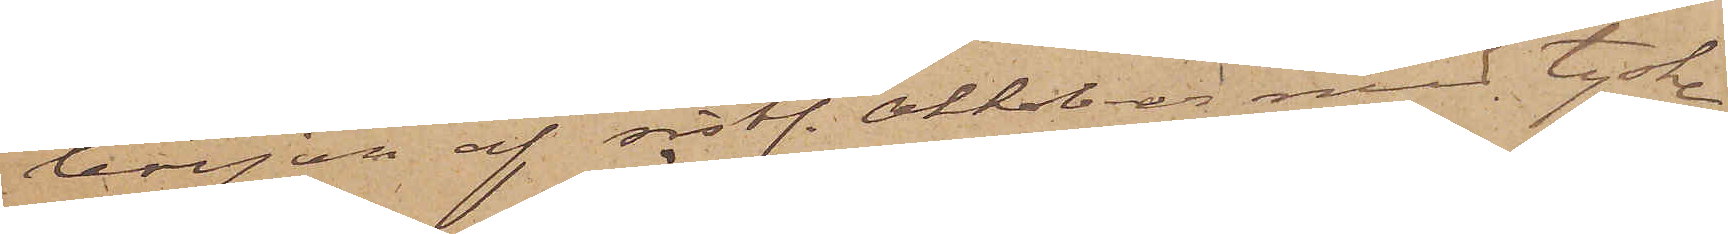början af sistl. Oktober med tyske
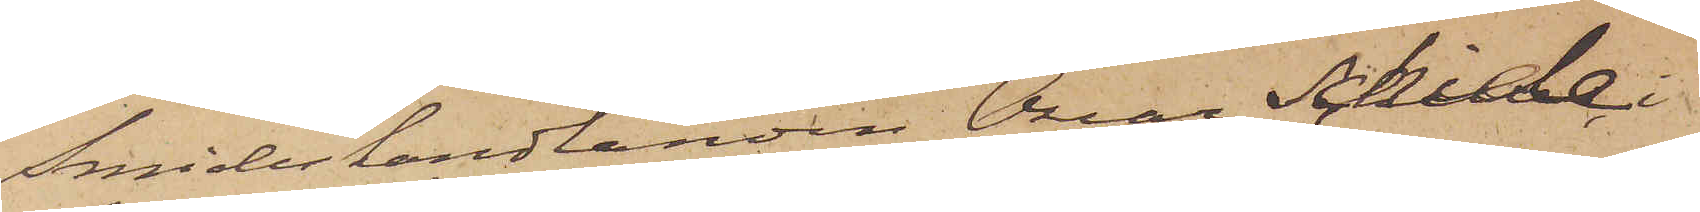Smideshandlanden Oscar Schille, i
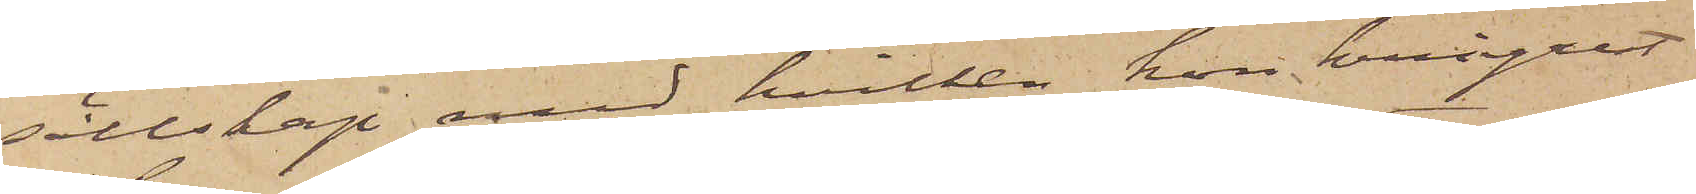sällskap med hvilken hon kringrest
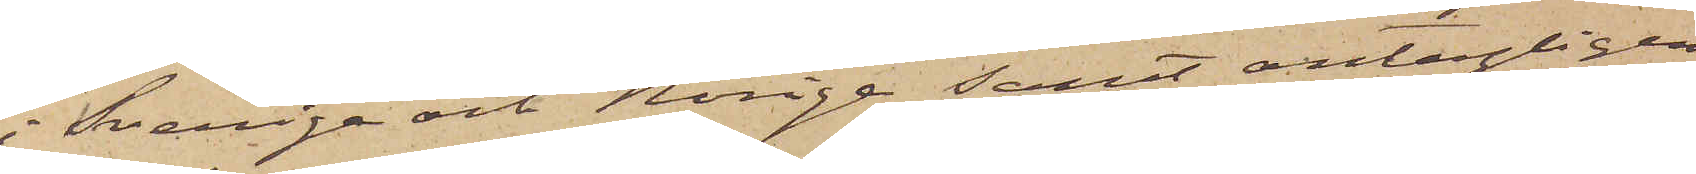i Sverige och Norige samt antagligen
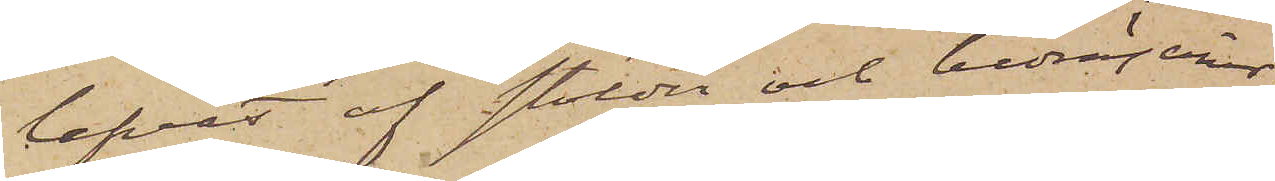lefvat af stölder och bedrägerier.
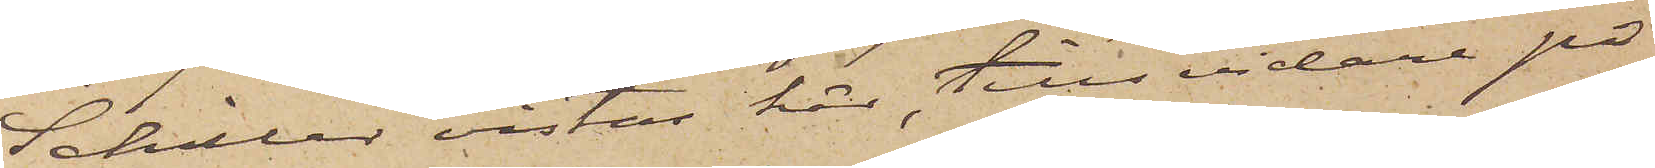Schiller vistas här, tills vidare på
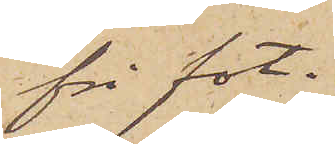fri fot.
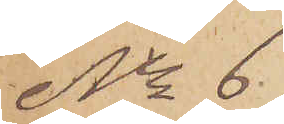No 6
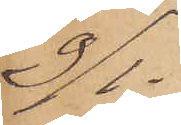9/1.
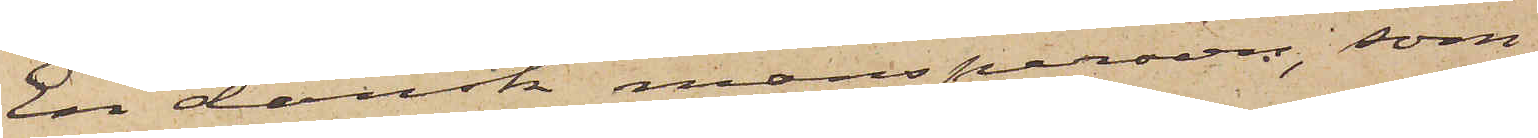En dansk mansperson, som
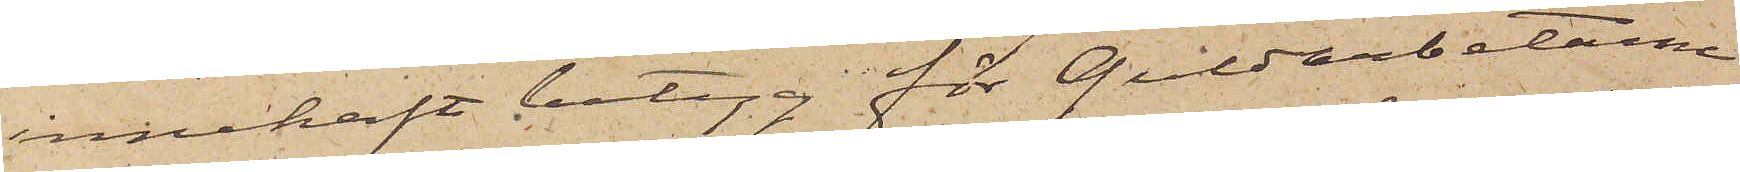innehaft betyg för Guldarbetarne
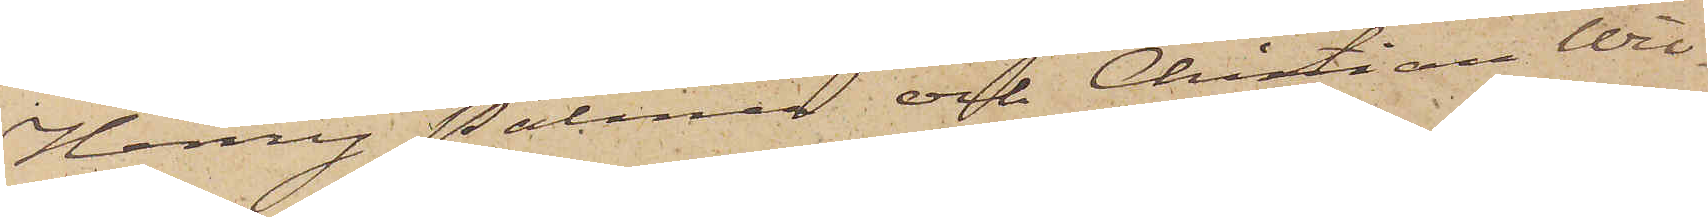Henry Palmer och Christian Wil¬
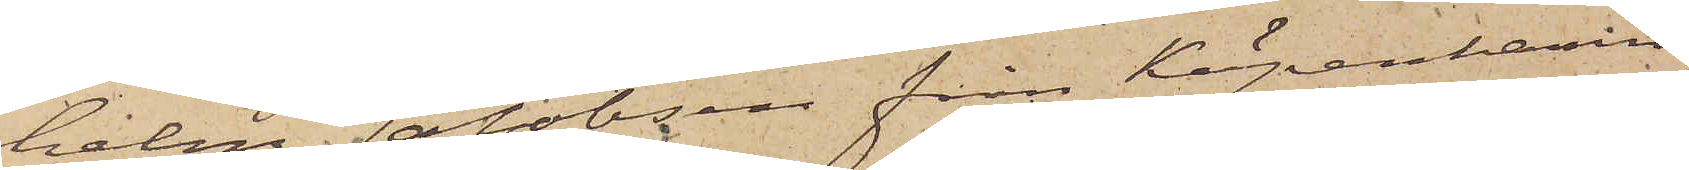helm Jakobsen från Köpenhamn,
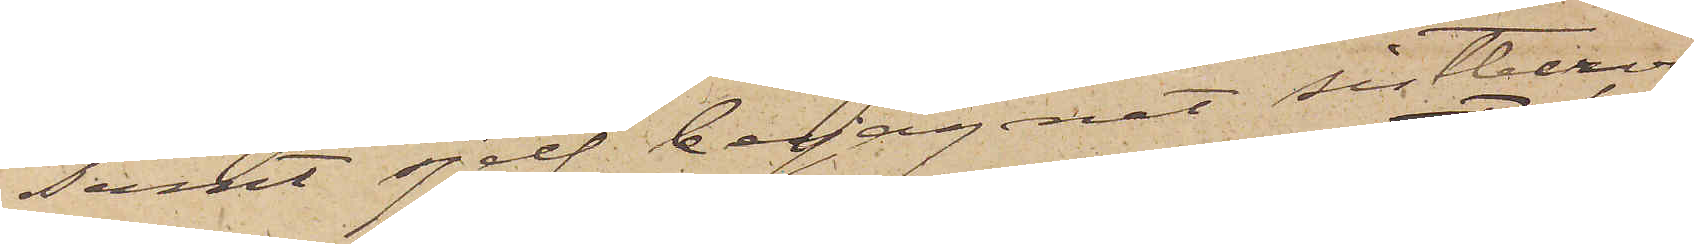samt sjelf begagnat sistberör¬
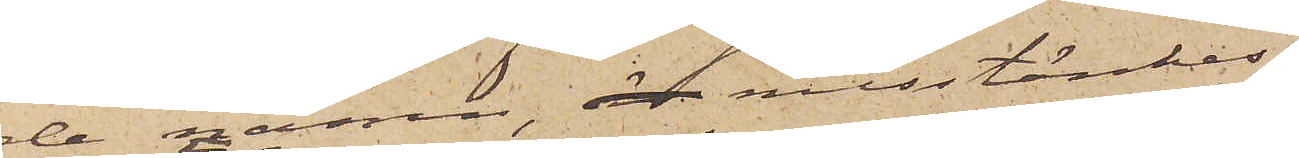de namn, är misstänkes
